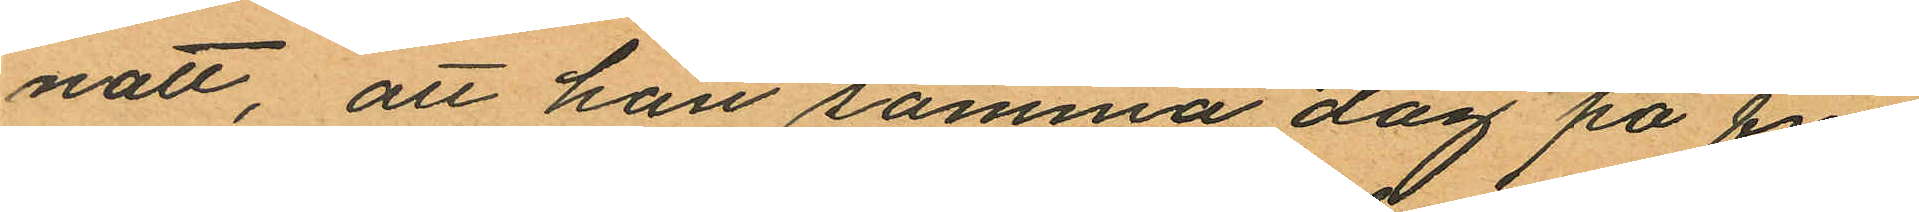natt, att han samma dag på fm
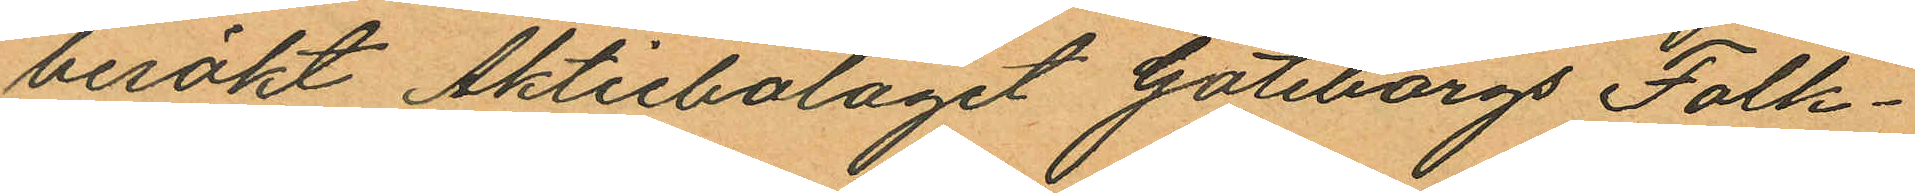besökt Aktiebolaget Göteborgs Folk¬
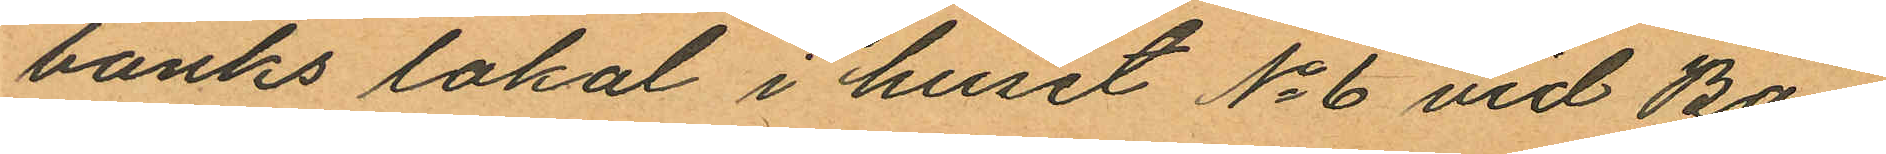banks lokal i huset No 6 vid Ba¬
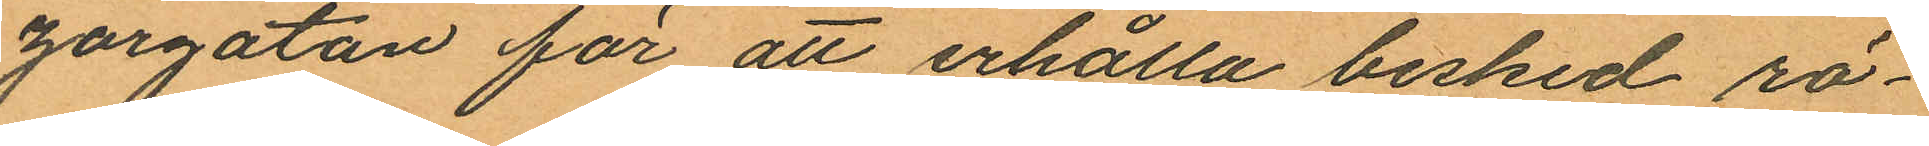zargatan för att erhålla besked rö¬
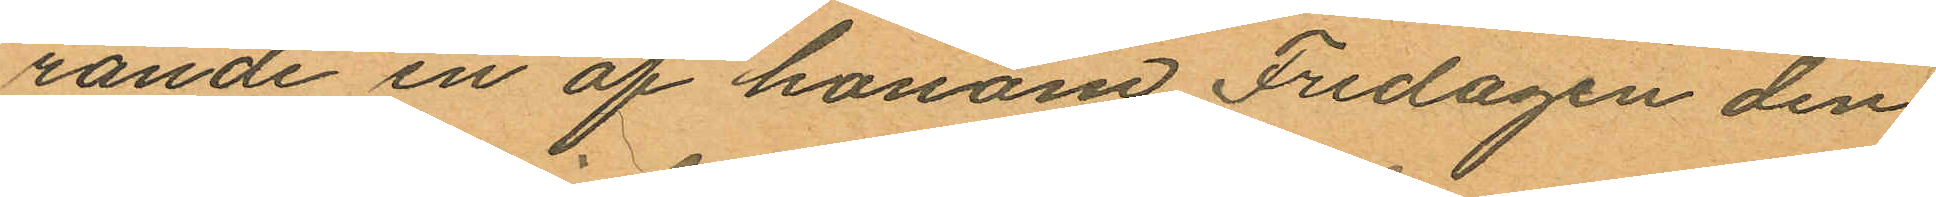rande en af honom Fredagen den
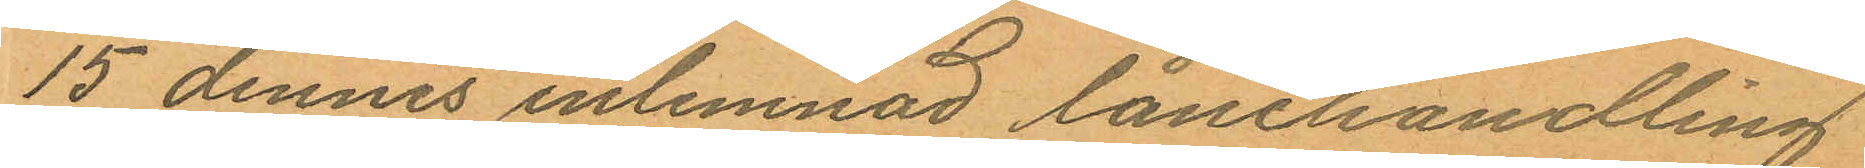15 dennes inlemnad lånehandling
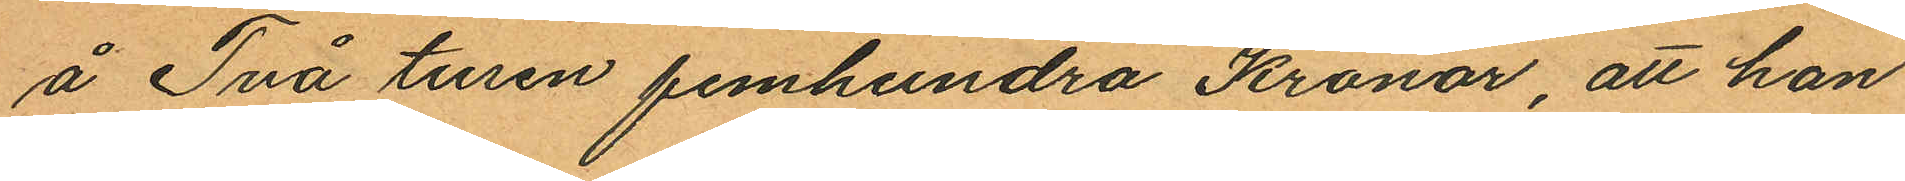å Två tusen femhundra Kronor, att han
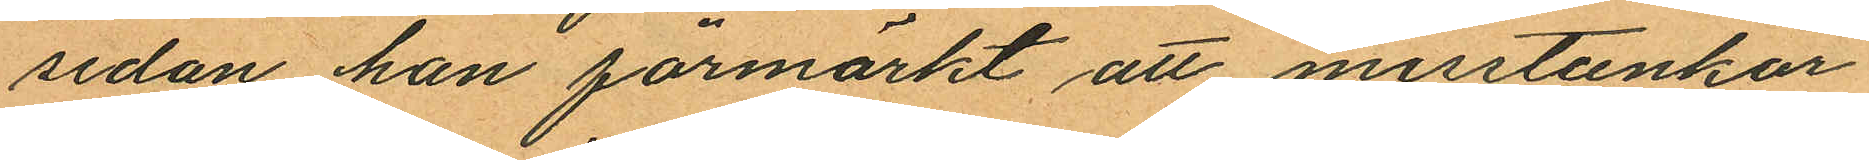sedan han förmärkt att misstankar
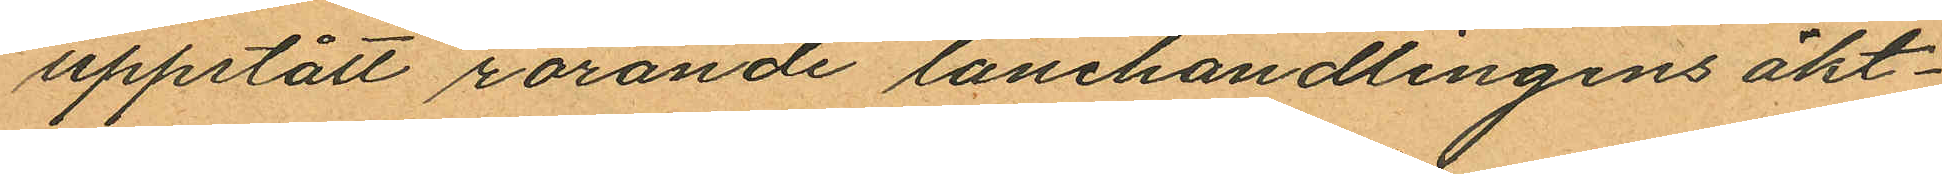uppstått rörande lånehandlingens äkt¬
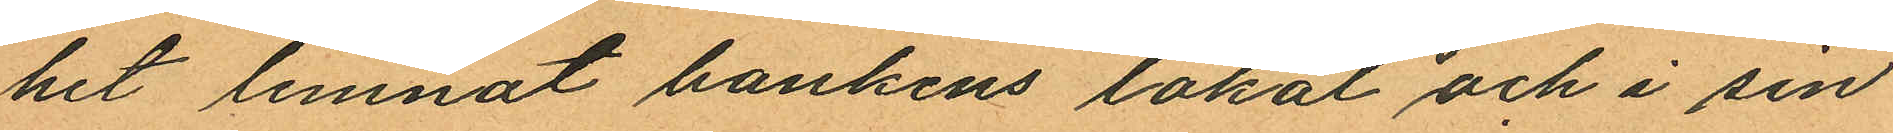het lemnat bankens lokal och i sin
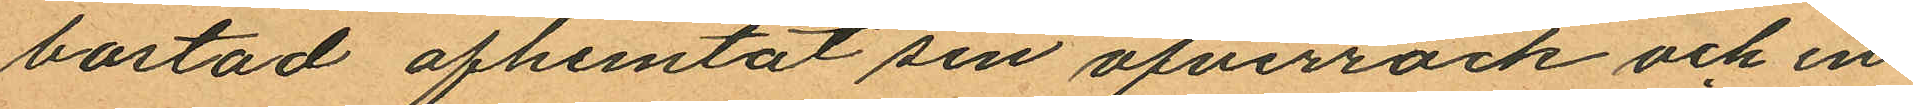bostad afhemtat sin öfverrock och en
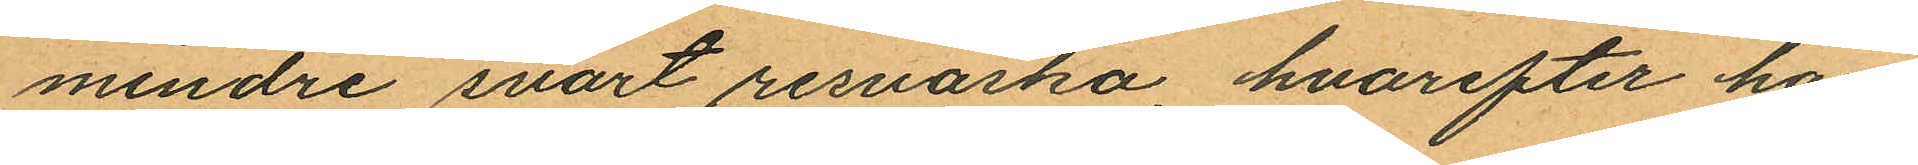mindre svart resväska hvarefter han
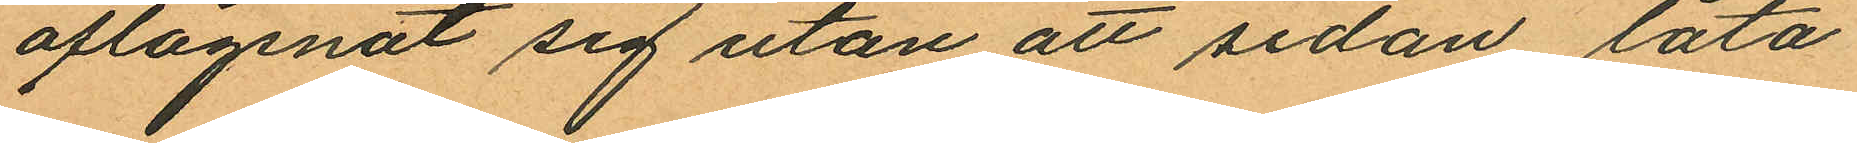aflägsnat sig utan att sedan låta
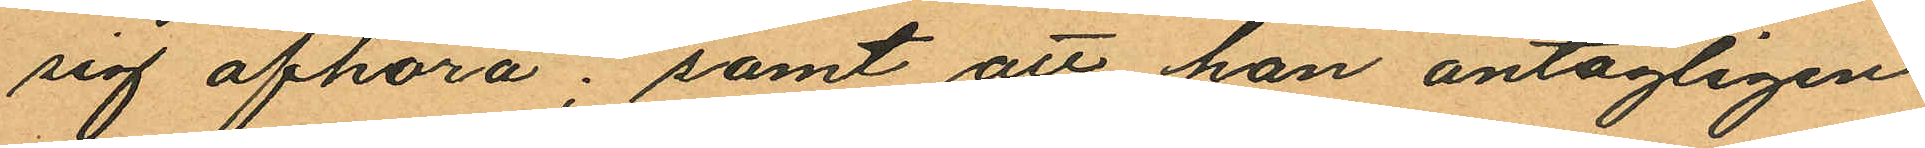sig afhöra; samt att han antagligen
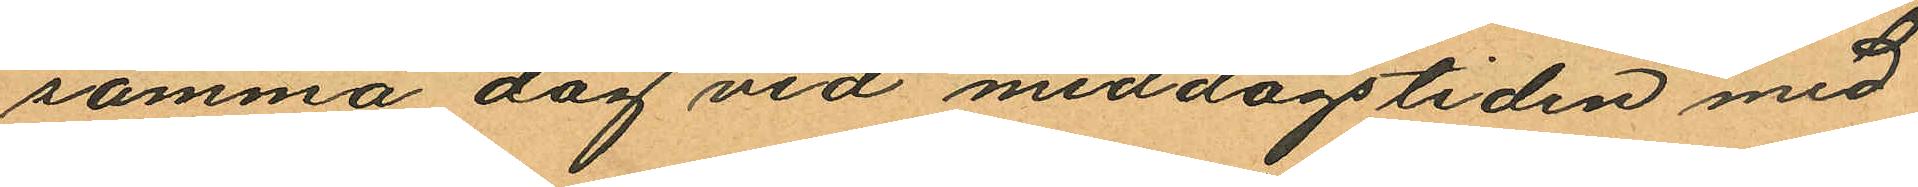samma dag vid middagstiden med
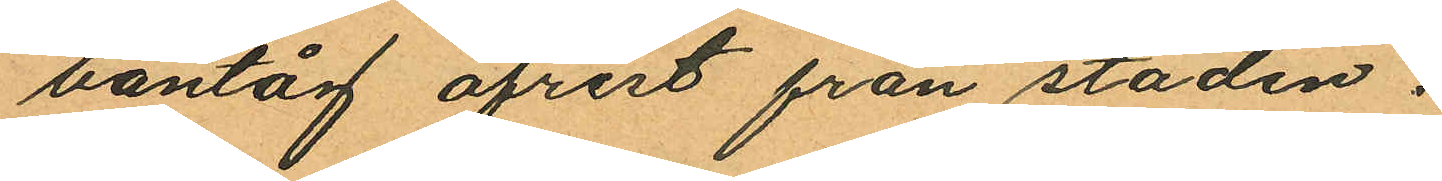bantåg afrest från staden.
